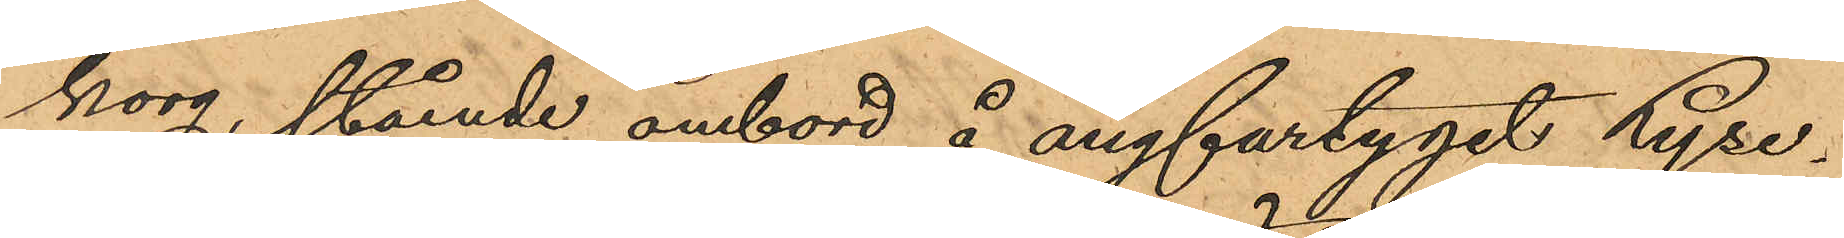korg, stående ombord å ångfartyget Lyse¬
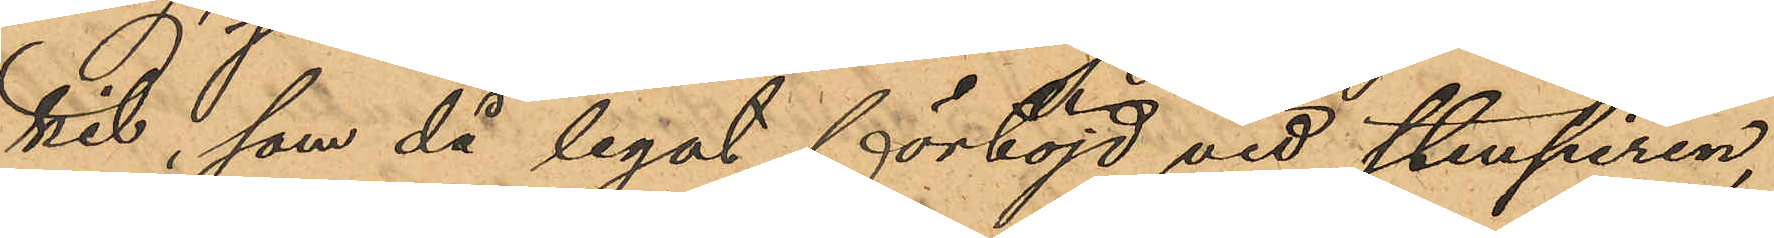kil, som då legat förtöjd vid Stenpiren,
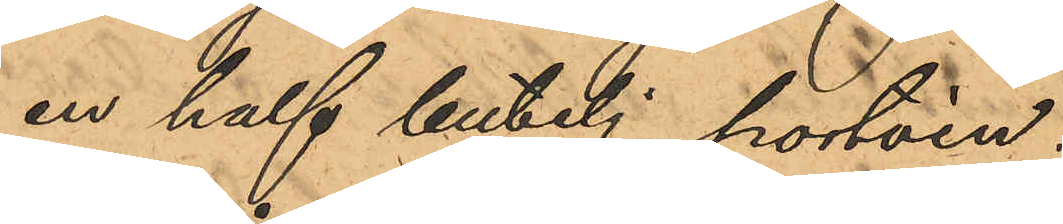en half butelj portvin.
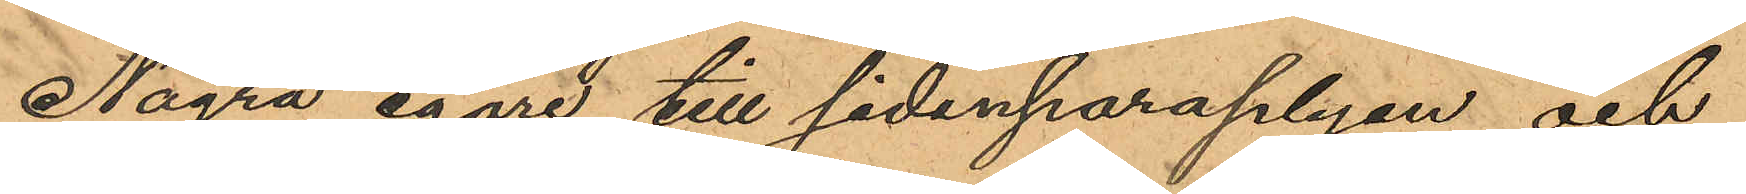Några egare till sidenparaplyen och
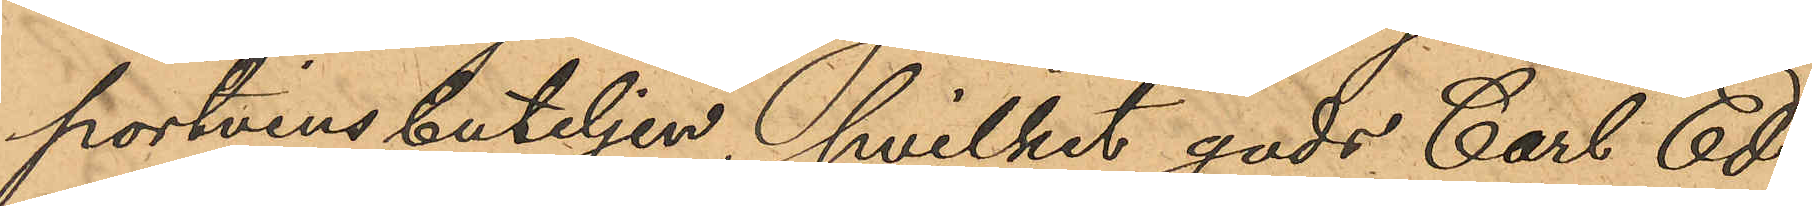portvinsbuteljen, hvilket gods Carl Ed¬
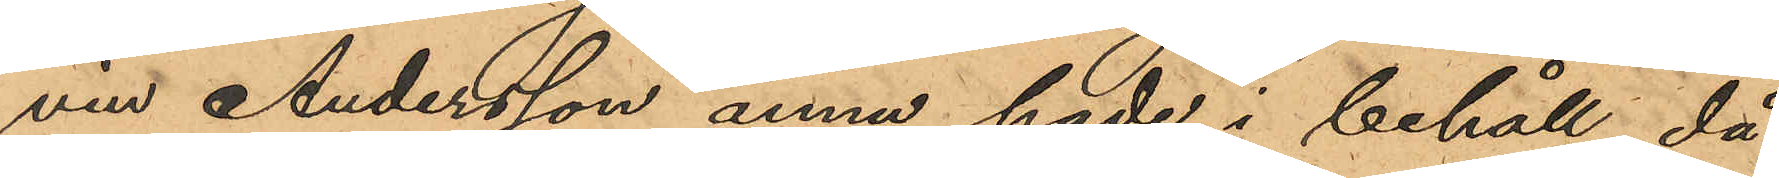vin Andersson ännu hade i behåll, då
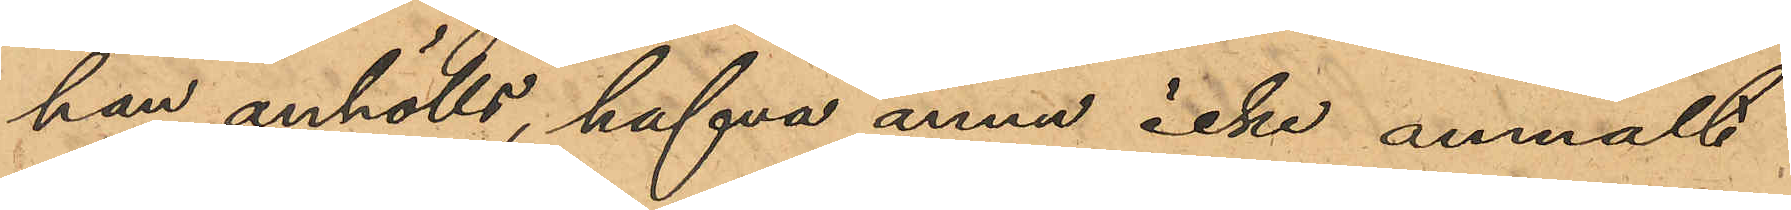han anhölls, hafva ännu icke anmält
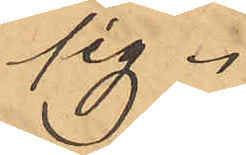sig.
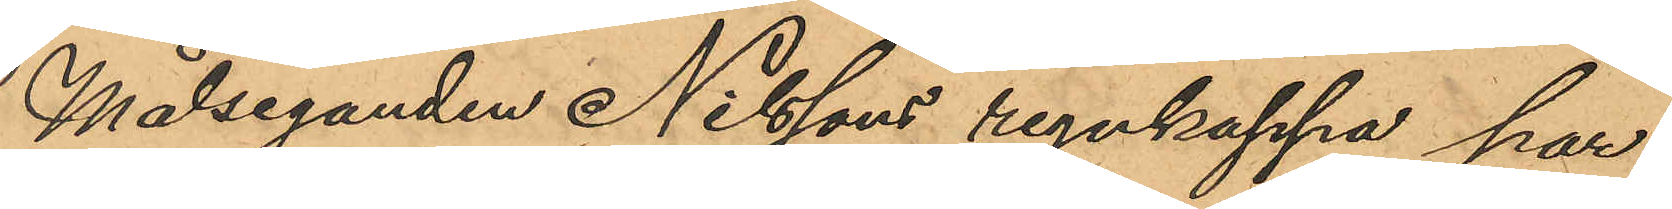Målseganden Nilssons regnkappa har
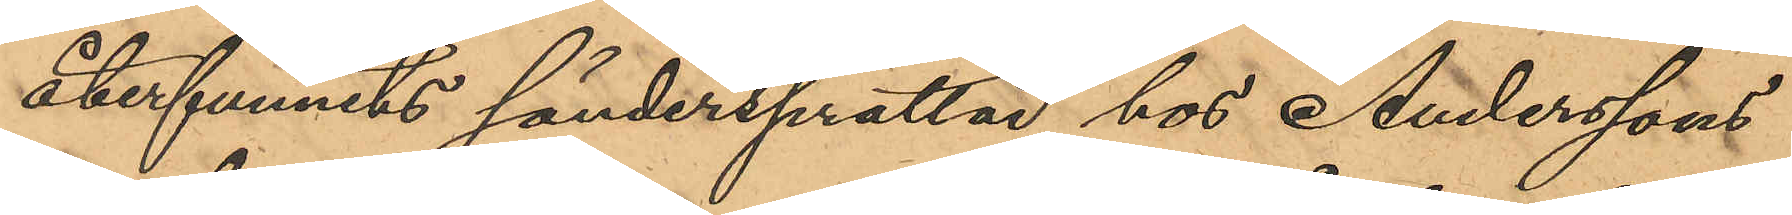återfunnits söndersprättad hos Anderssons
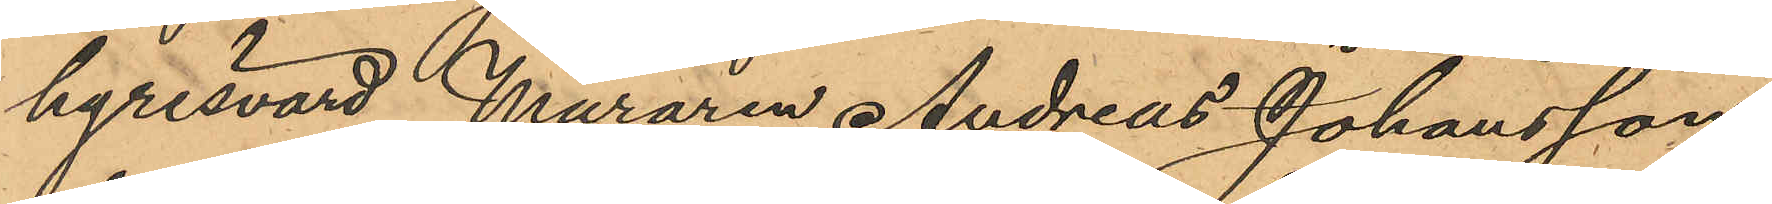hyresvärd Muraren Andreas Johansson,
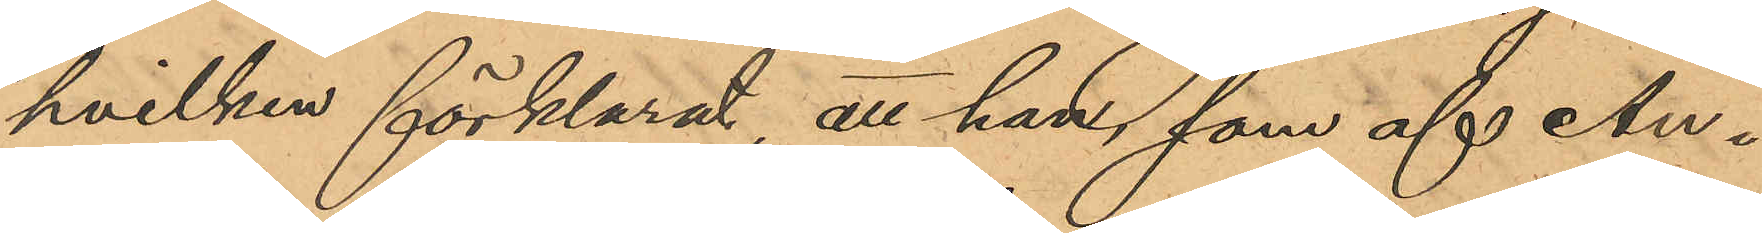hvilken förklarat, att han, som af An¬
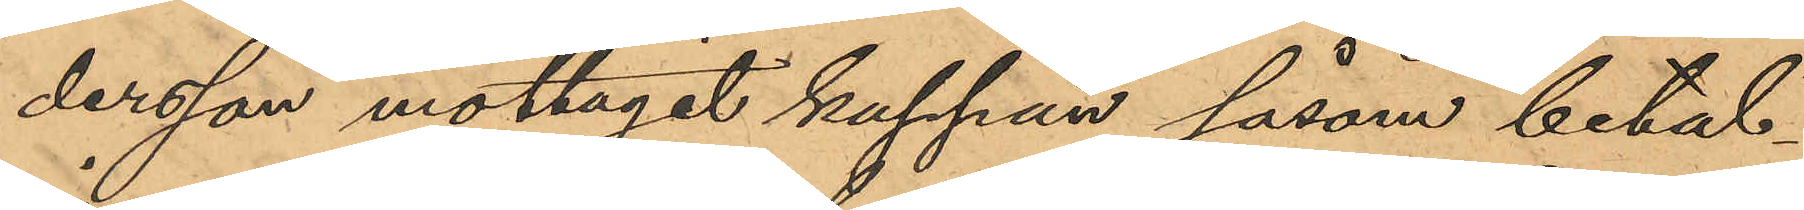dersson mottagit kappan såsom betal¬
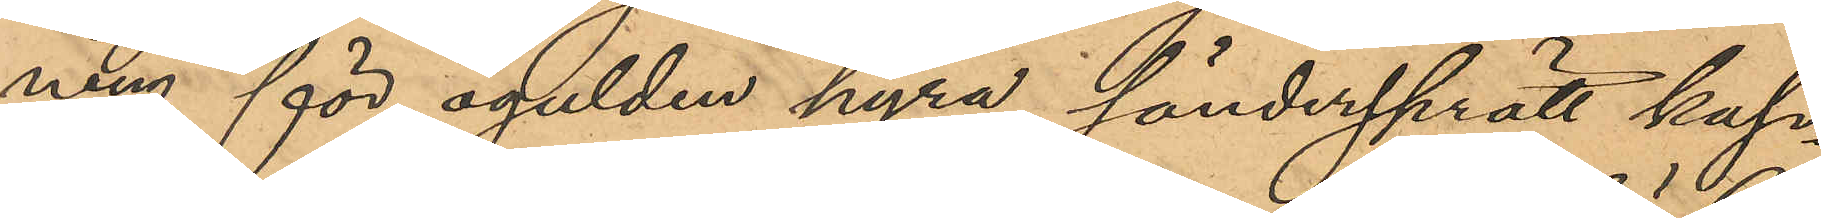ning för ogulden hyra, söndersprätt kap¬
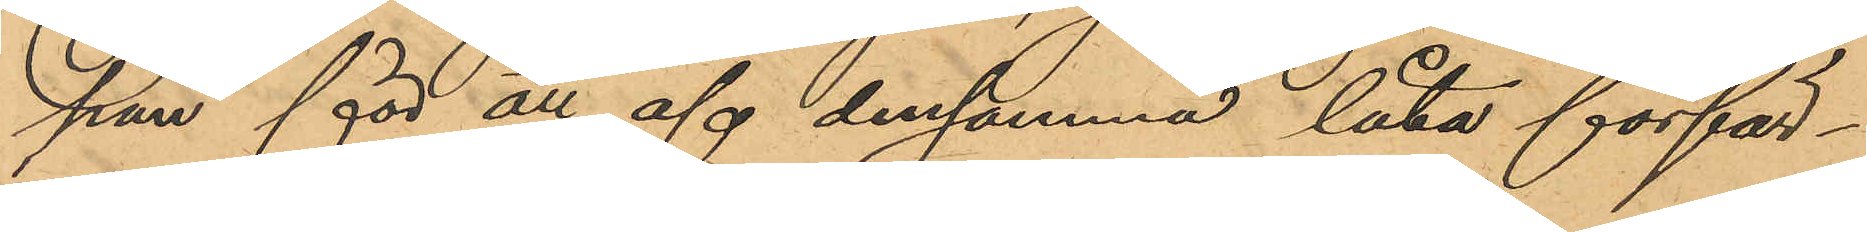pan för att af densamma låta förfär¬
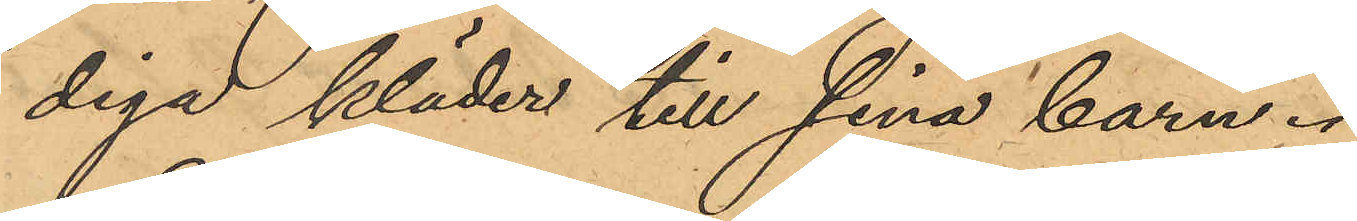diga kläder till sina barn.
